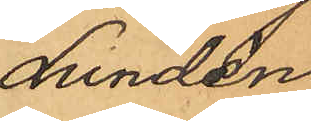Lundén
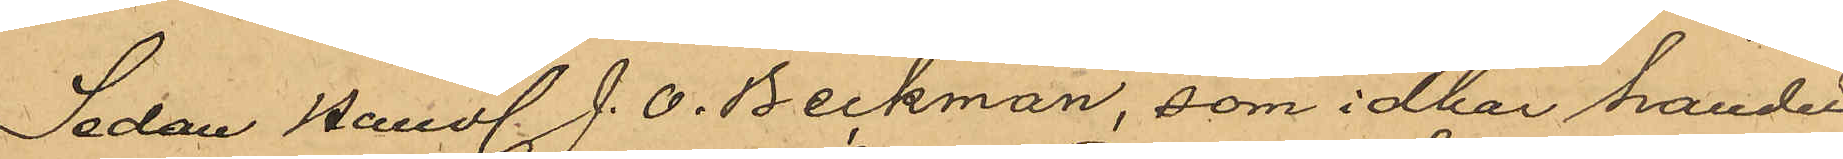Sedan Handl. J. O. Beckman, som idkar handel
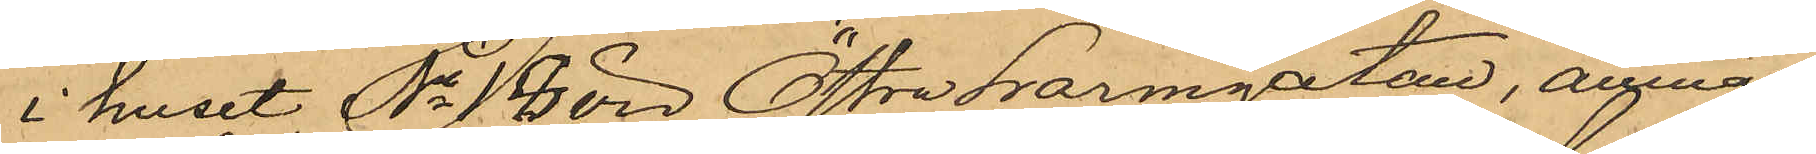i huset No 18 vid Östra Larmgatan, anmält
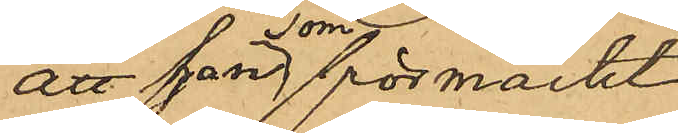att han som förmärkt
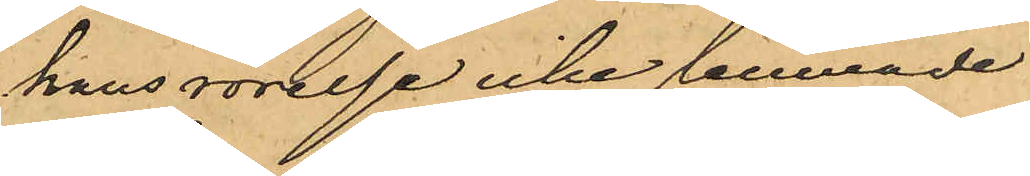hans rörelse icke lemnade
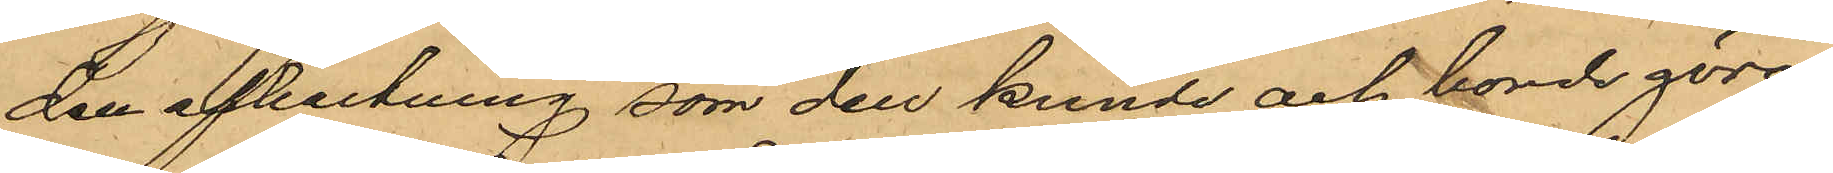den afkastning, som den kunde och borde göra
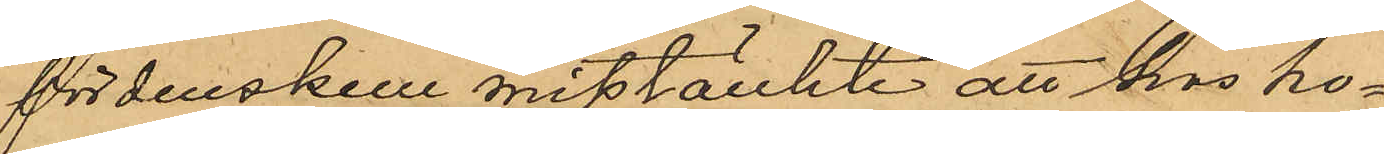fördenskull misstänkte att hos ho¬
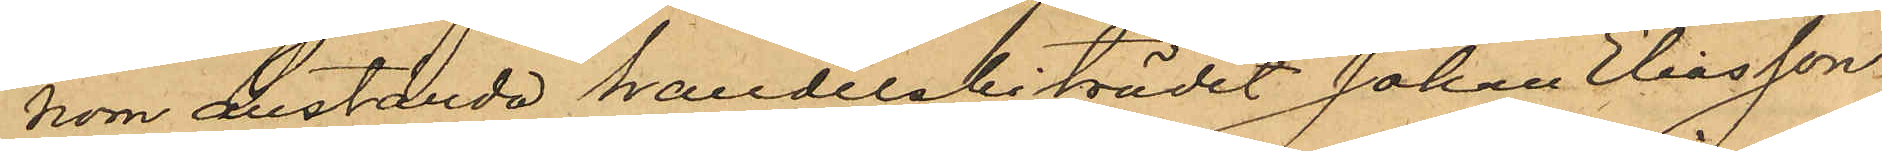nom anställda handelsbiträdet Johan Eliasson
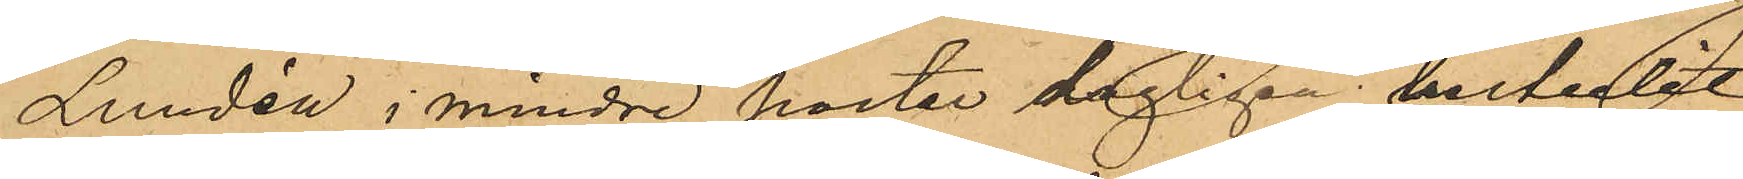Lundén i mindre poster dagligen bestulit
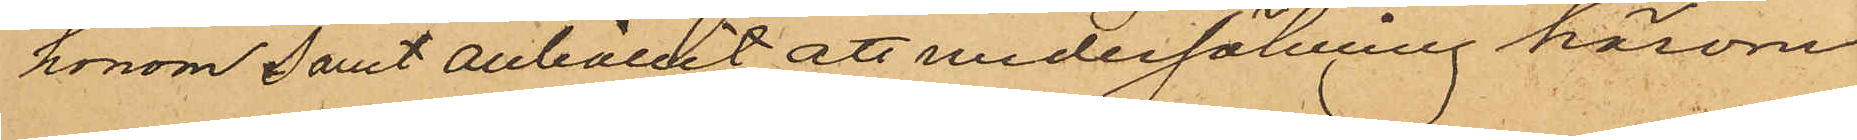honom samt anhållit att undersökning härom
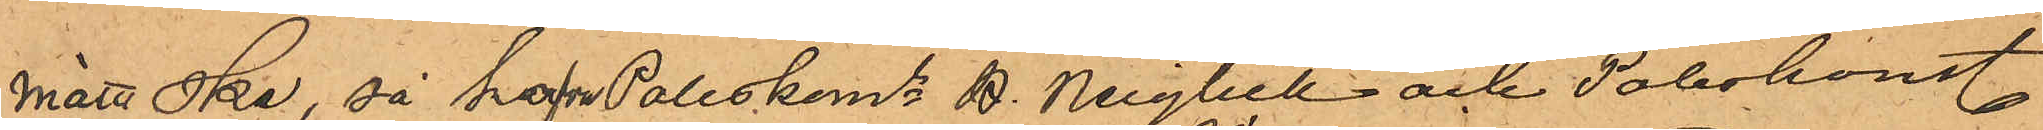måtte ske, så hafva Poliskome B. Neiglick och Poliskonst.
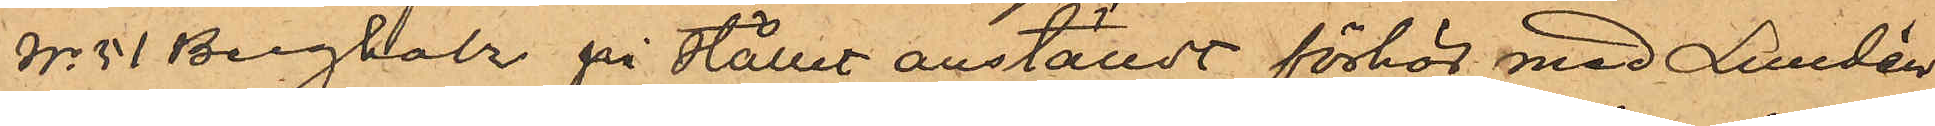No 51 Bergholz på stället anställdt förhör med Lundén
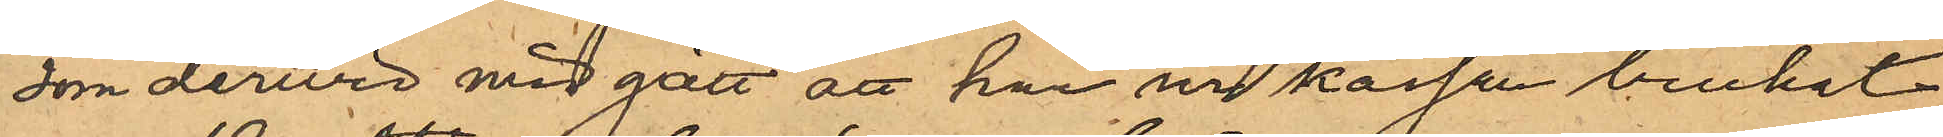som dervid medgått att han ur kassan brukat
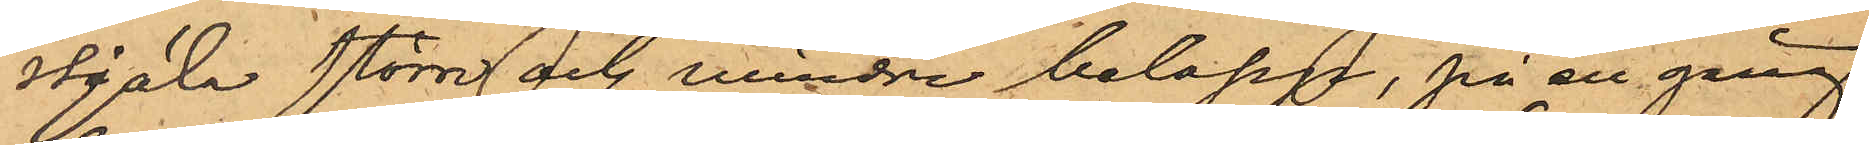stjäla större och mindre belopp, på en gång
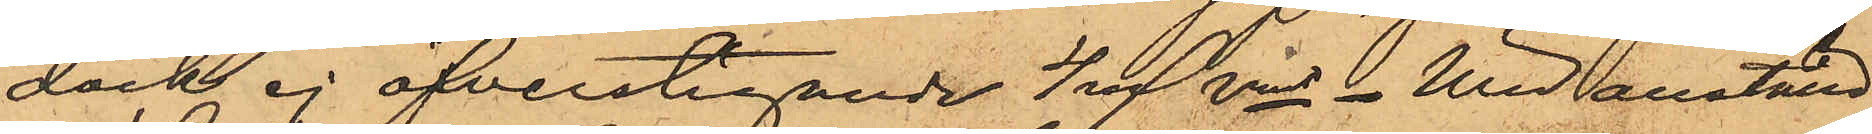dock ej öfverstigande 4 rd rmt. Wid anställd
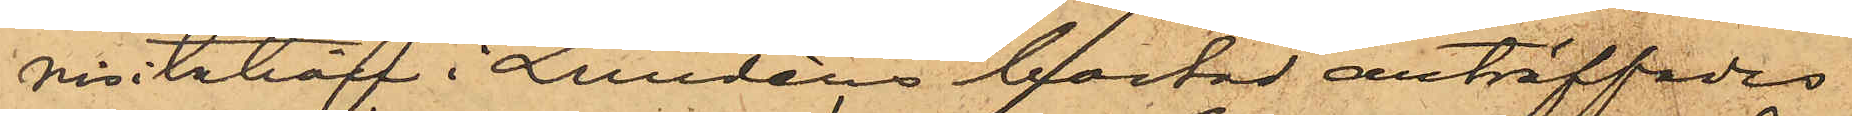visitation i Lundéns bostad anträffades
